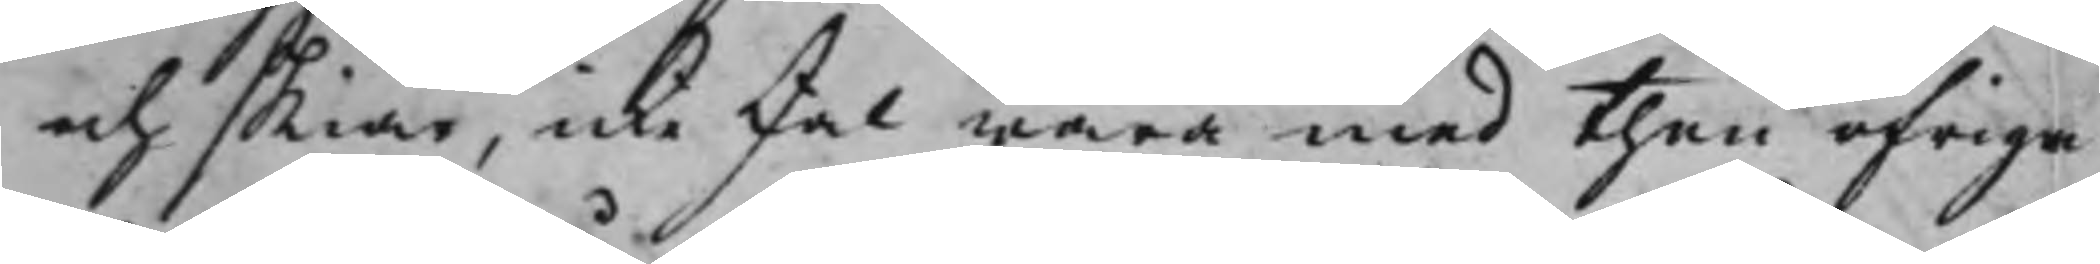och skiär, icke skal wara med then öfrige
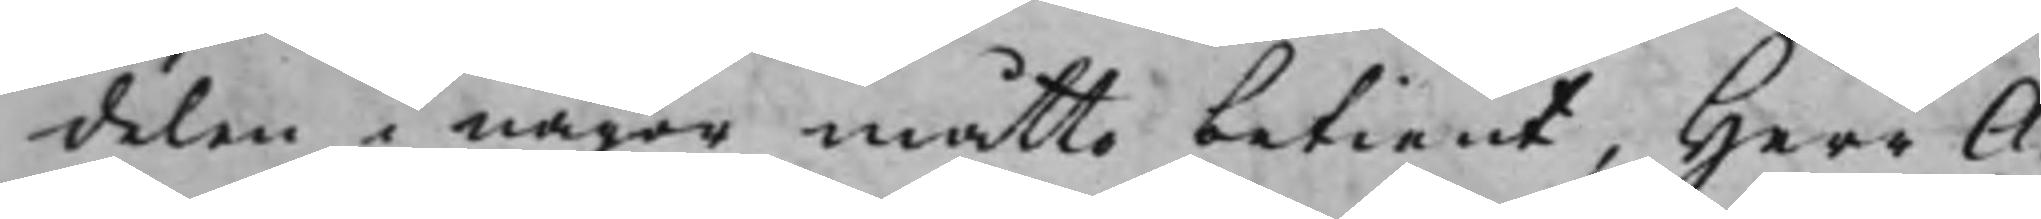delen i någon måtto betient, Herr A¬
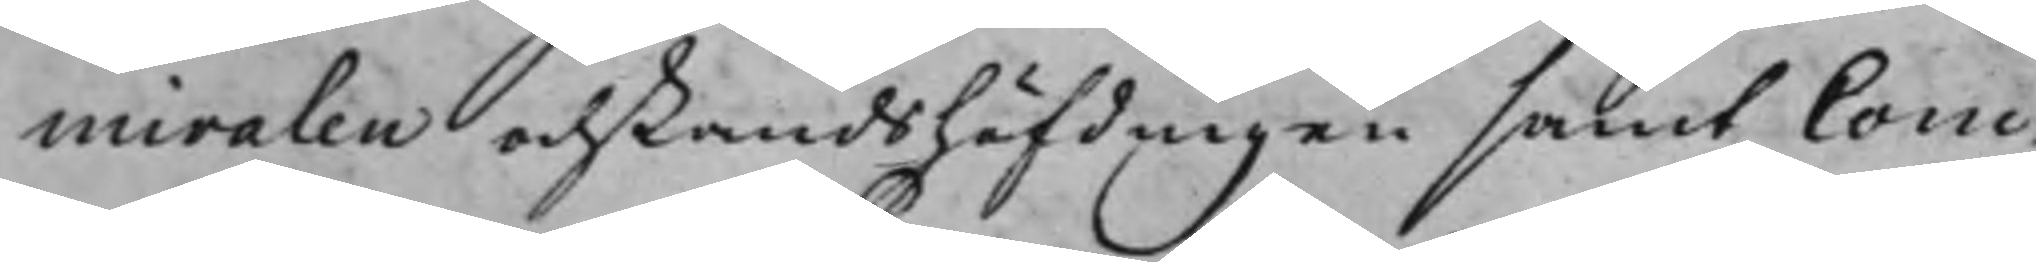miralen och Landshöfdingen samt Com¬
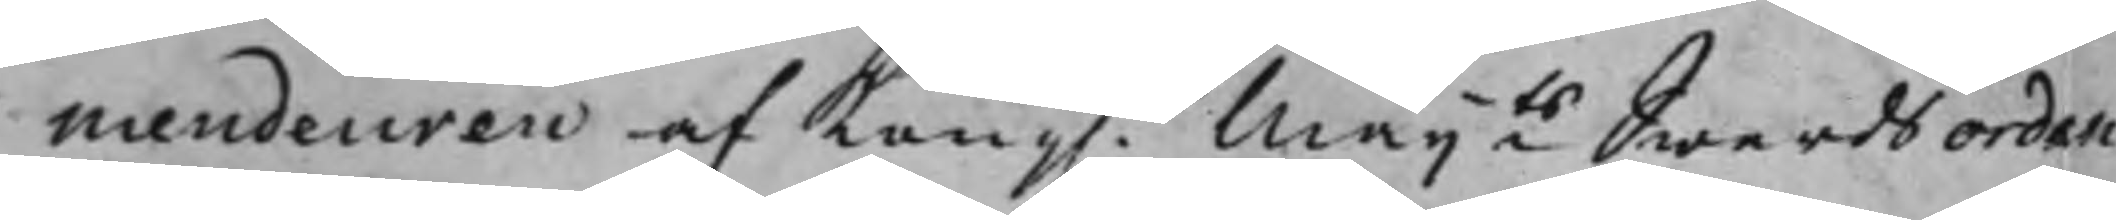mendeuren af Kong. Maijts Swerdsorden
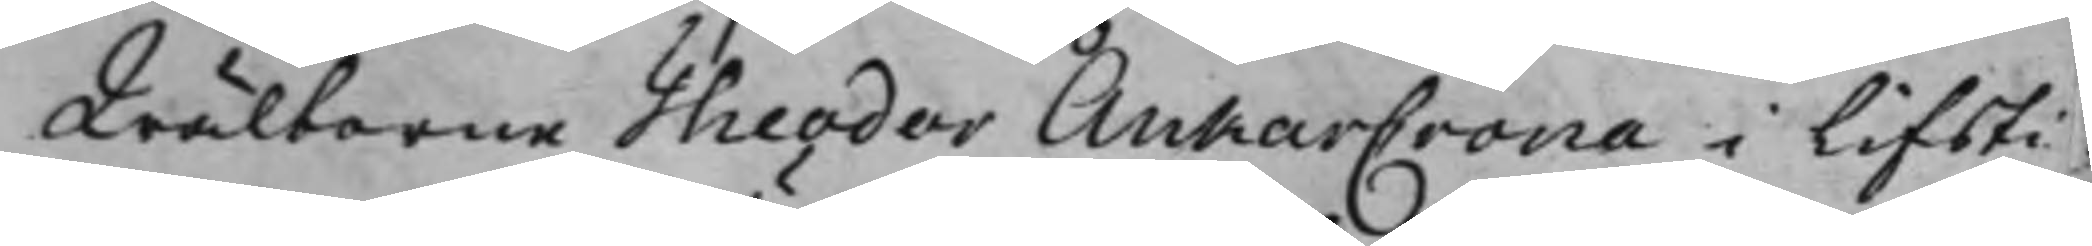Wälborne Theodor AnkarCrona i Lifsti¬
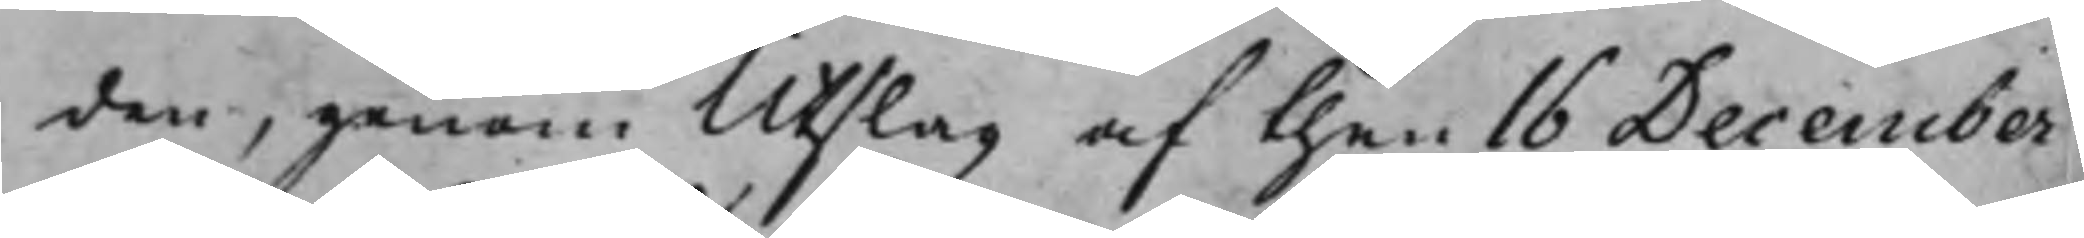den, genom Utslag af then 16 December
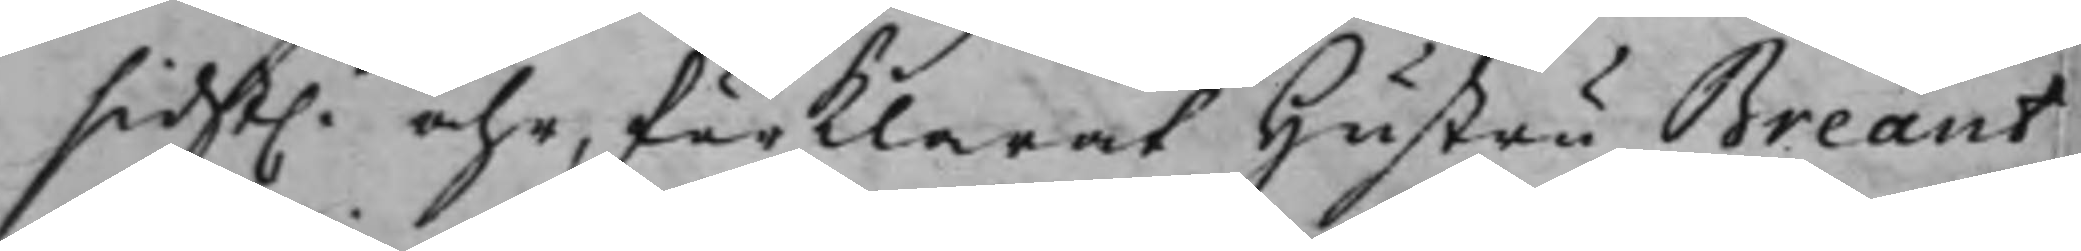sidst.t åhr, förklarat Hustru Breant
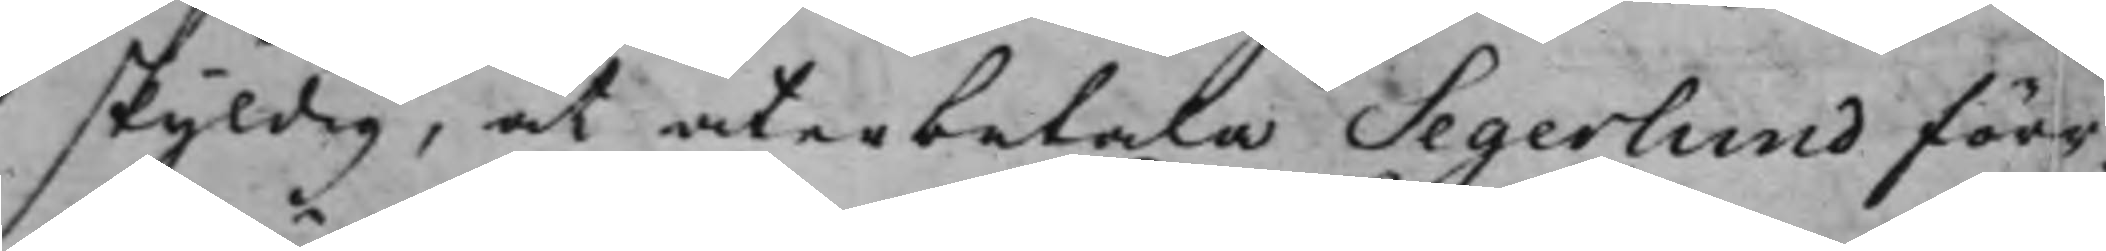skyldig, at återbetala Segerlund förr¬
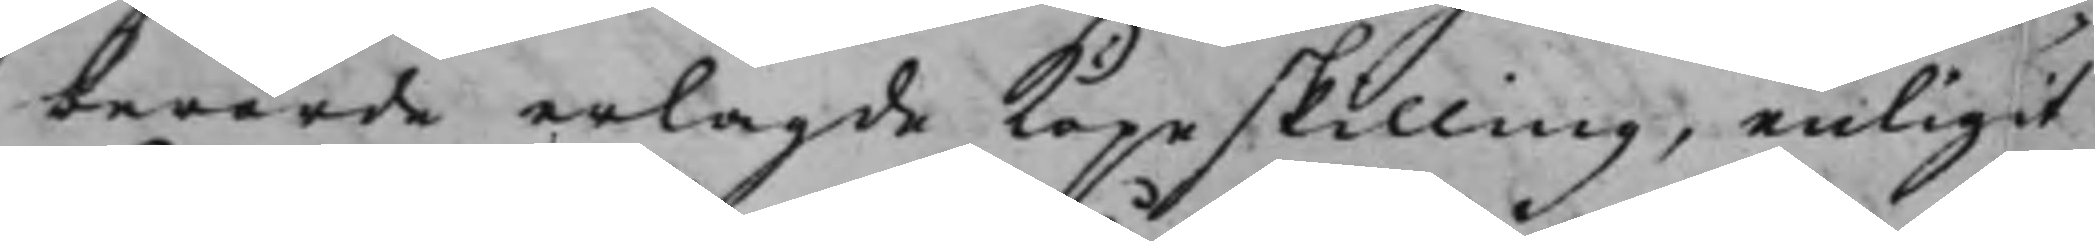berörde erlagde Köpeskilling, enligit
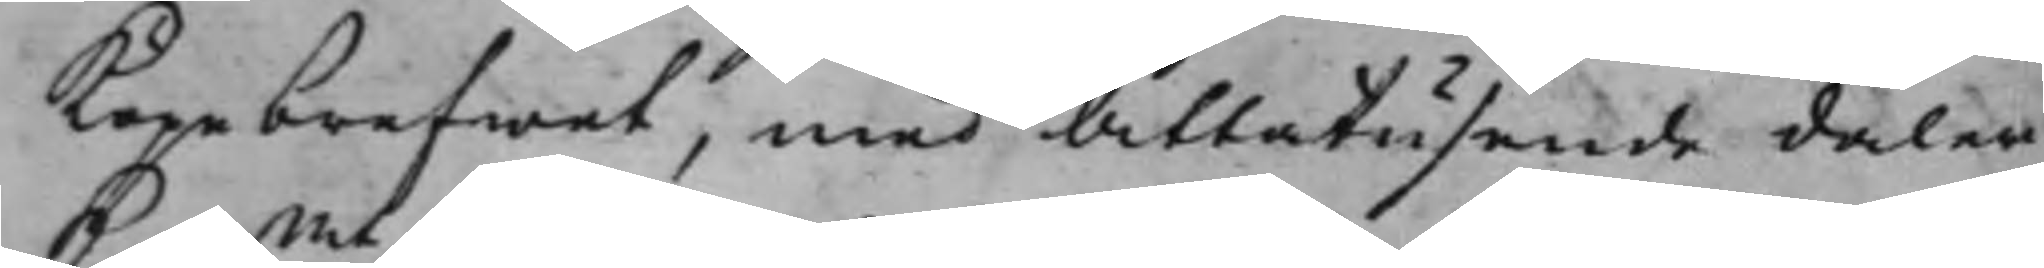Köpebrefwet, med Åttatusende daler
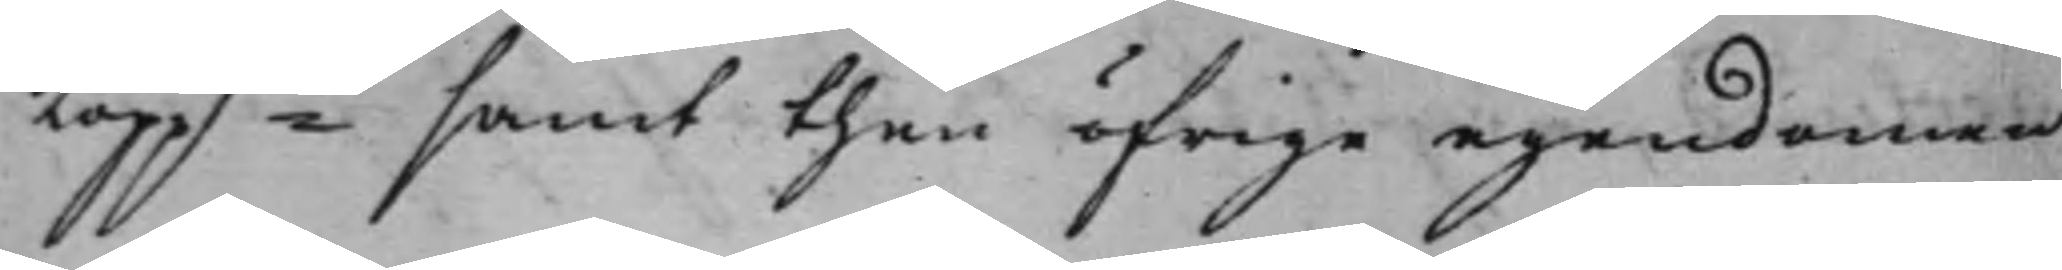Koppmt samt then öfrige egendomen
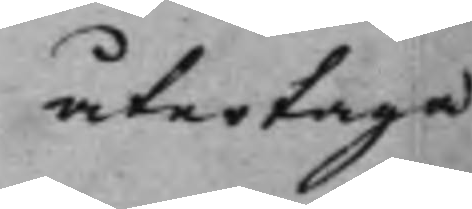återtaga
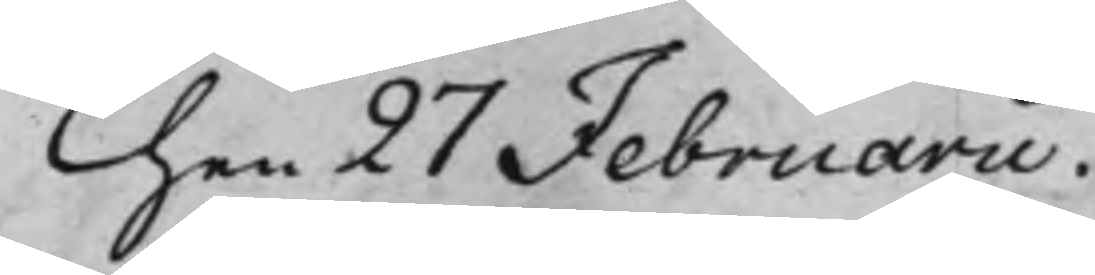Then 27 Februarii.
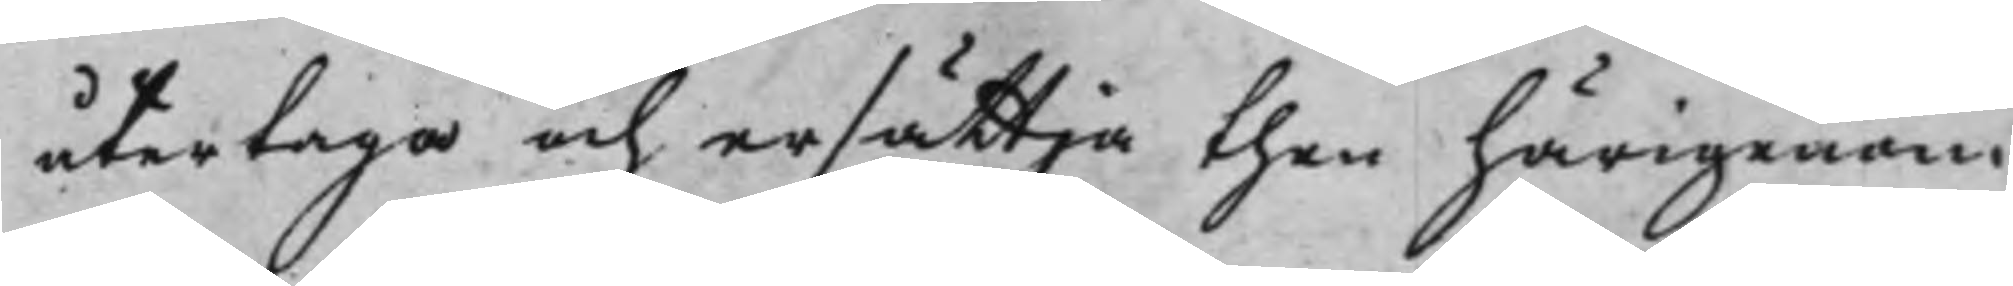återtaga och ersättja then härigenom
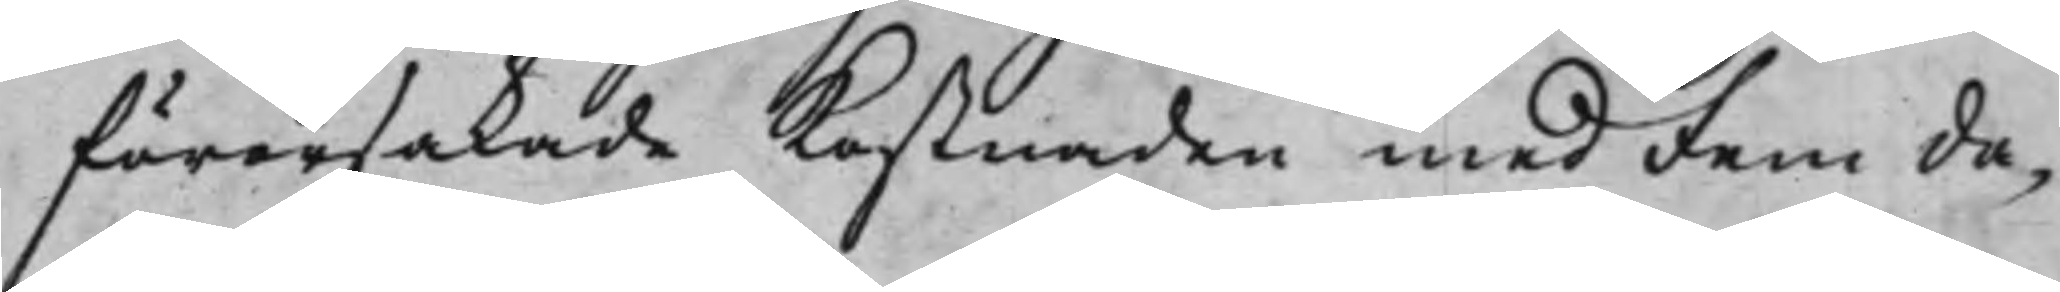förorsakade Kostnaden med Fem da¬
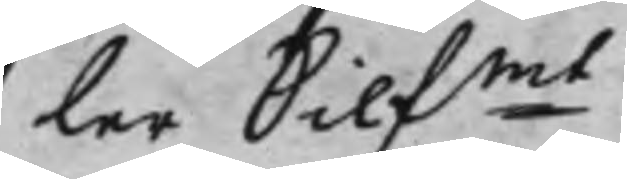ler Silfmt.
